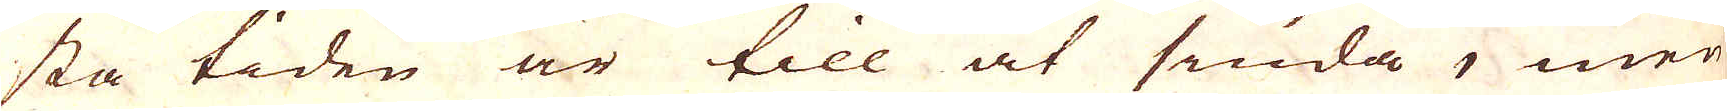sta tiden är till at siuda, men
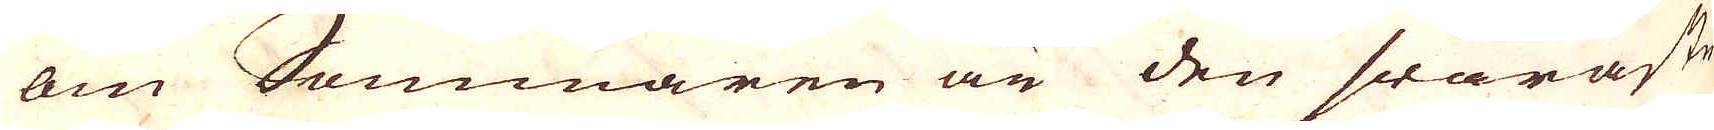om Sommaren än den swåraste.
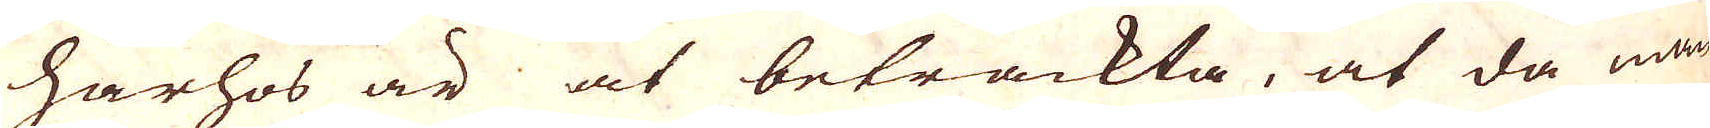Härhos är at betrackta, at då man
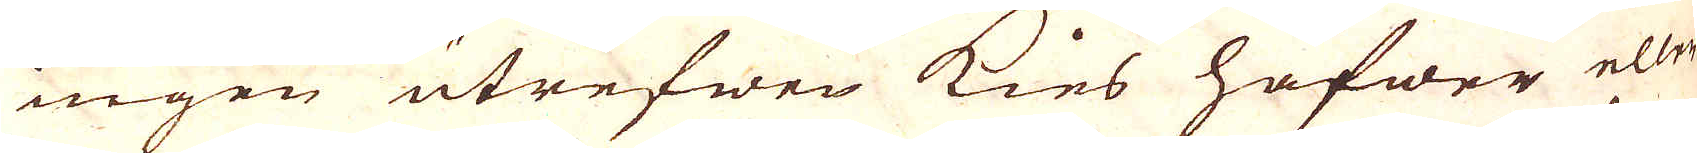ingen utrefwen kies hafwer eller
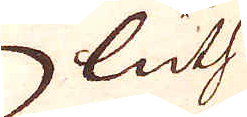luth
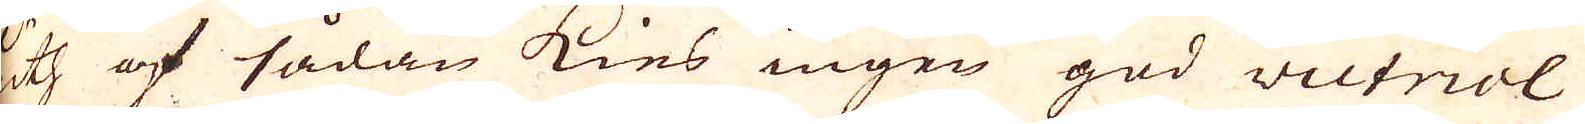luth af sådan kies ingen god wictriol
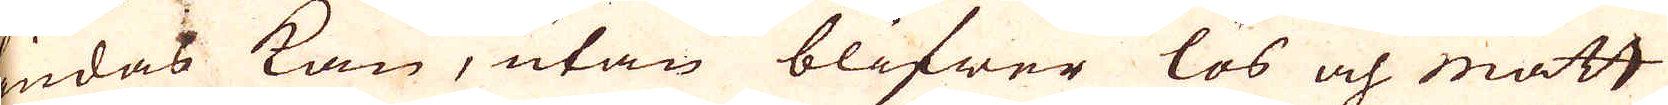siudas kan, utan blifwer lös och matt
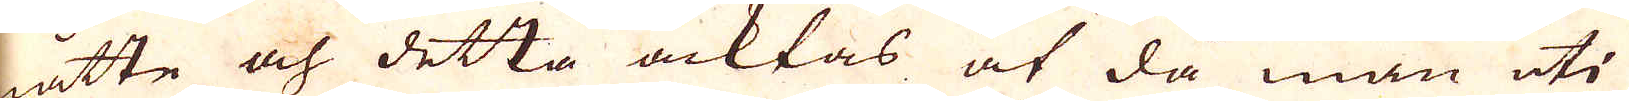måtte och detta acktas at då man uti
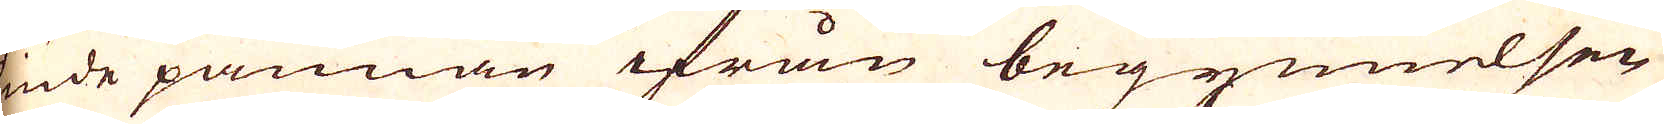siude pannan ifrån begynnelsen
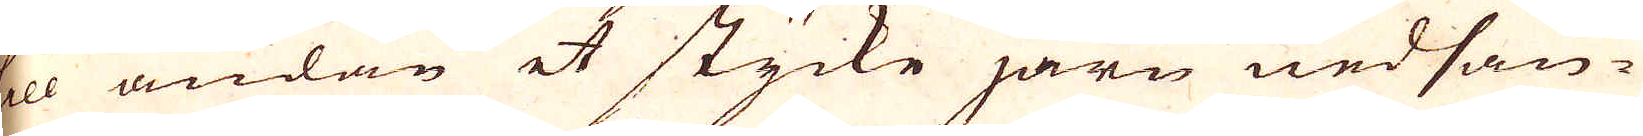till ändan et stycke järn nedsän-
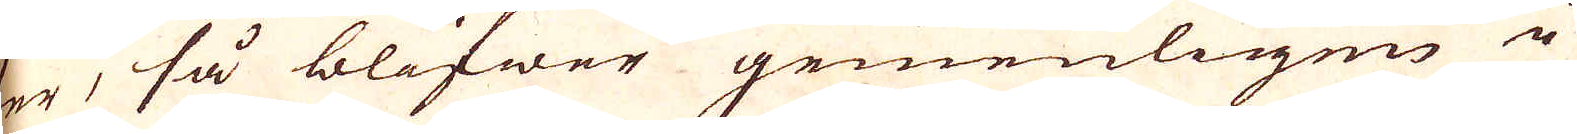ekr, så blifwer gemenligen i 
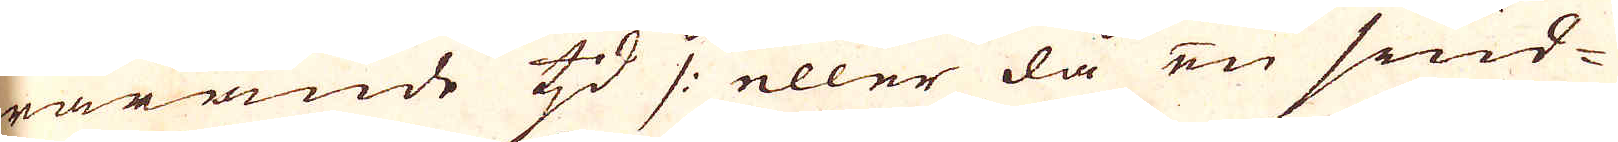warande tjd /: eller då en siud-
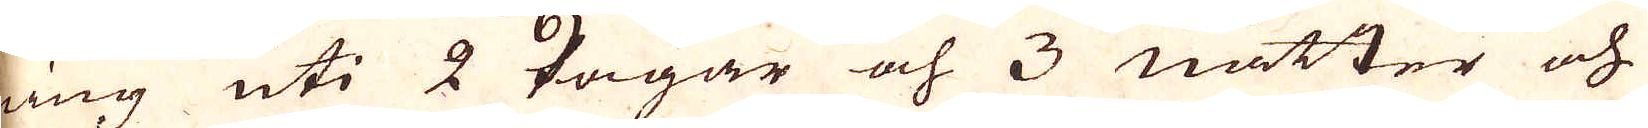ning uti 2 dagar och 3 nätter och
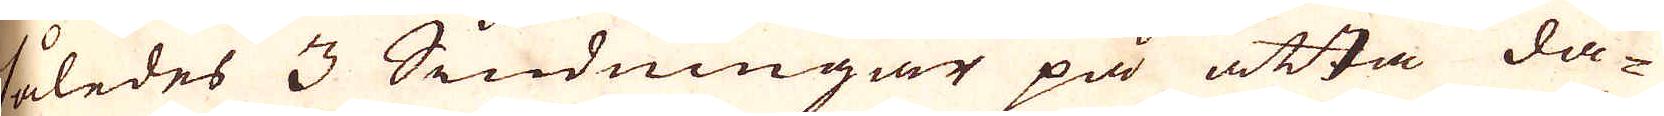således 3 Siudningar på åtta da-
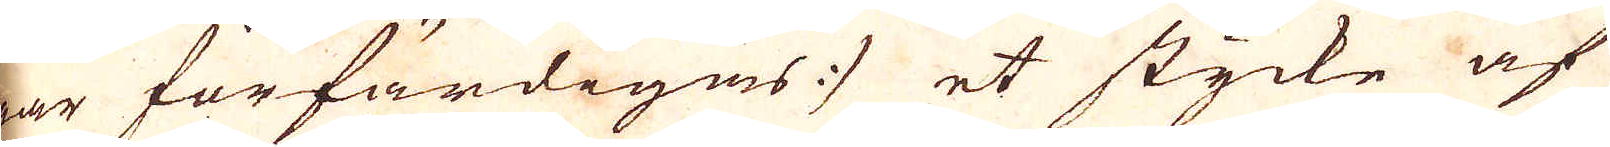gar förfärdigas :/ et stycke af
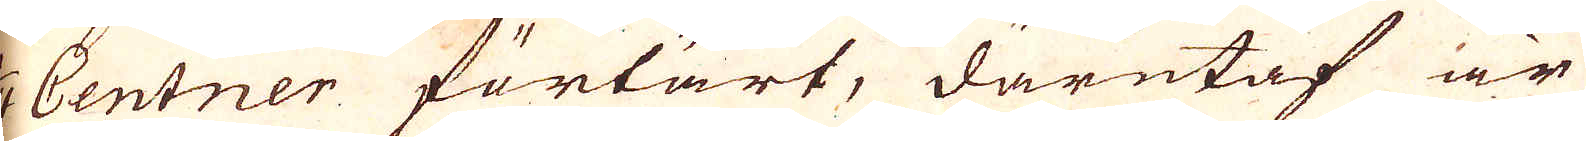1/4 Centner förtärt, därutaf är
